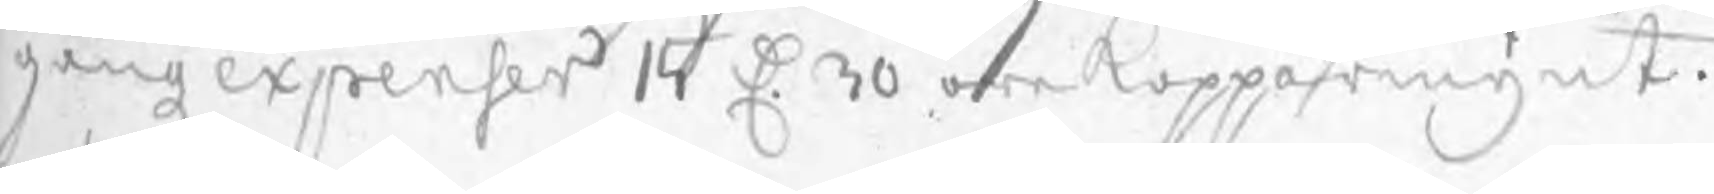gångz expenser 15 D 30 öre Kopparmynt.
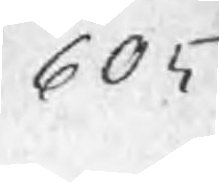605
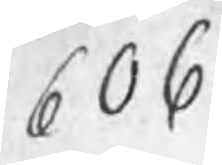606
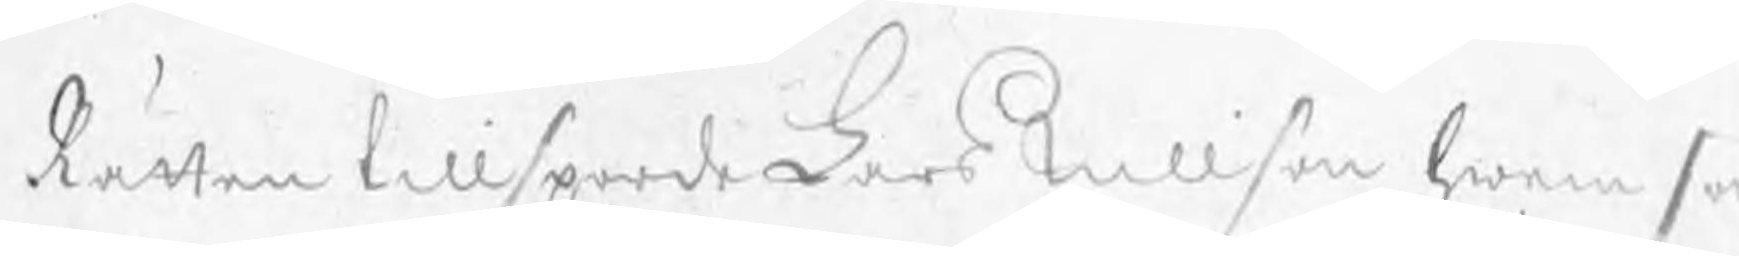Rätten tillsporde Lars Nillson hwem so
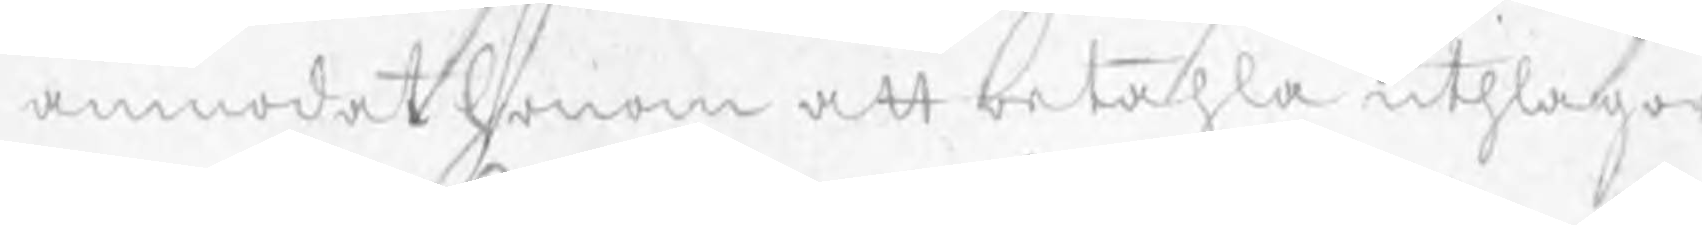anmodat honom att betahla uthlagor
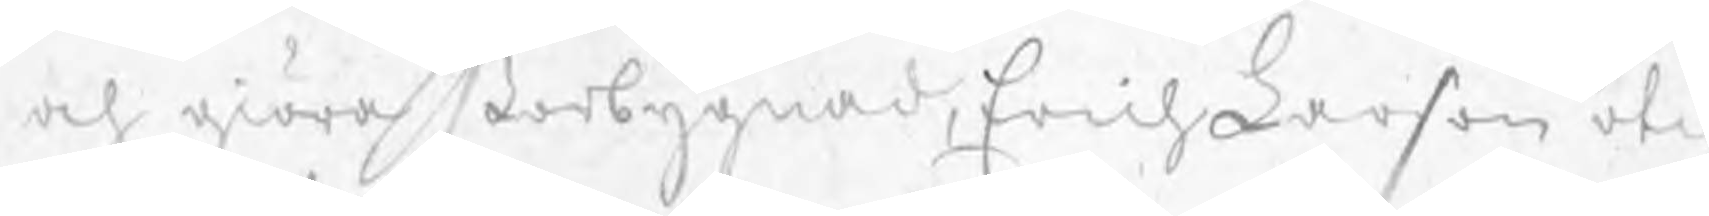och giöra storbygnad, Erich Larson otil
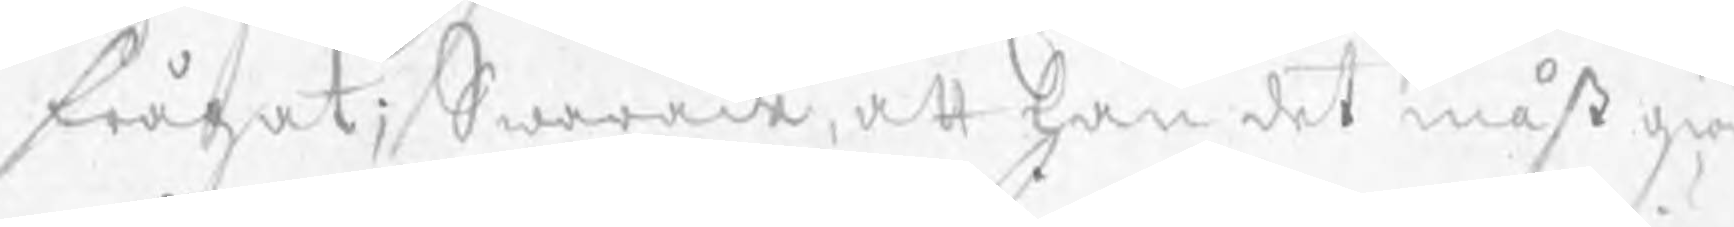frågat; Swarade, att han det måst giö
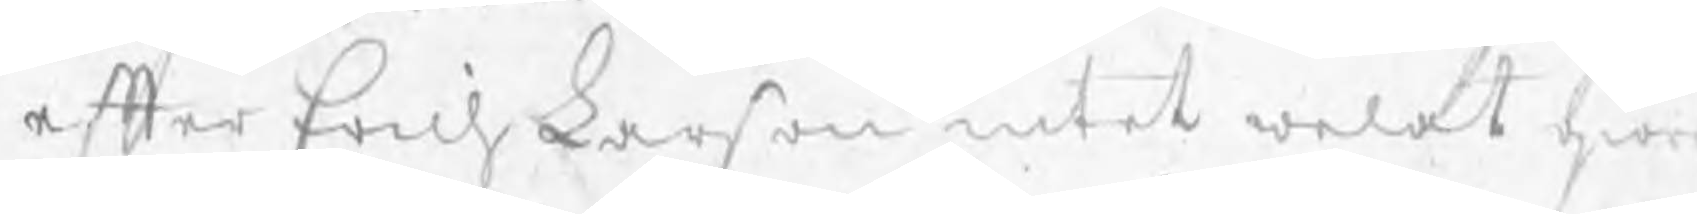efter Erich Larson intet welat giör
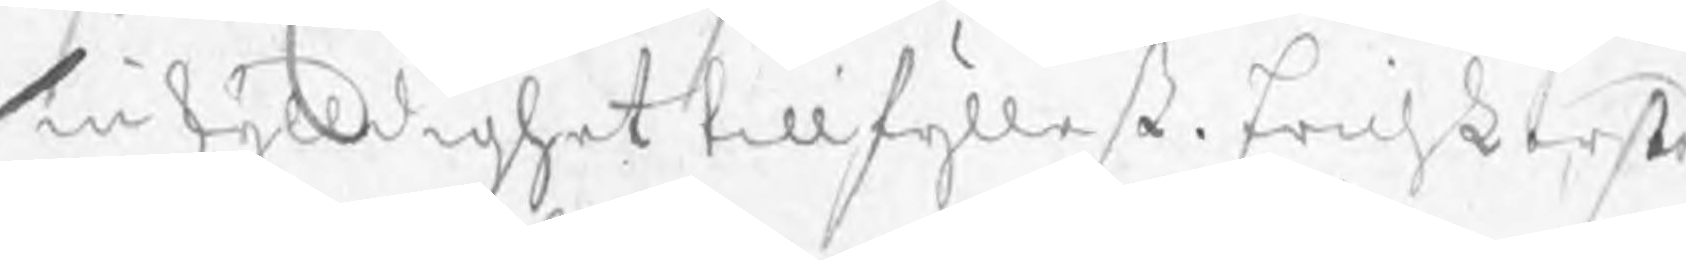sin skylldighet tillfyllest. Erich Larßon
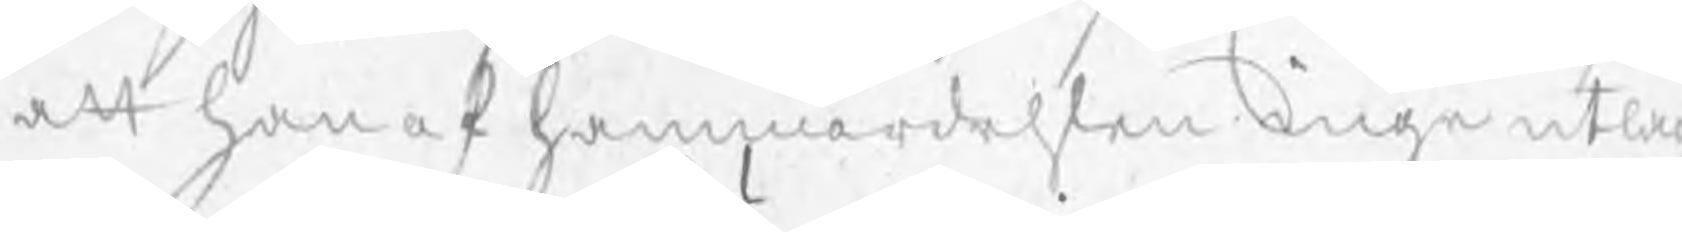att han af hammardehlen inga utlag
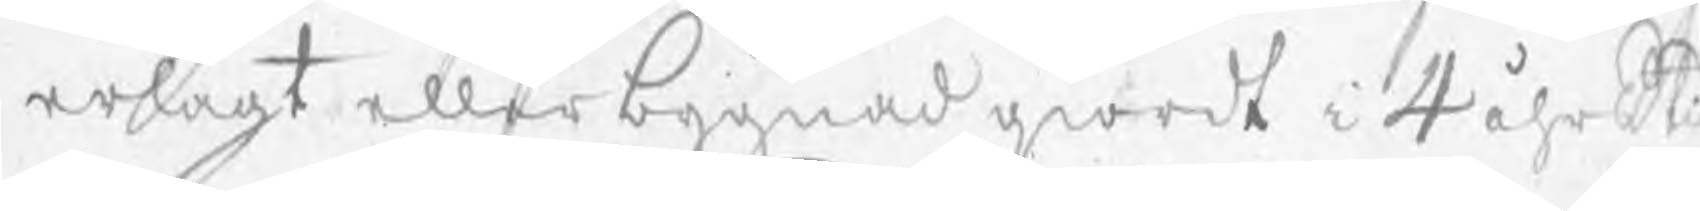erlagt eller bygnad giordt i 4 åhrs t
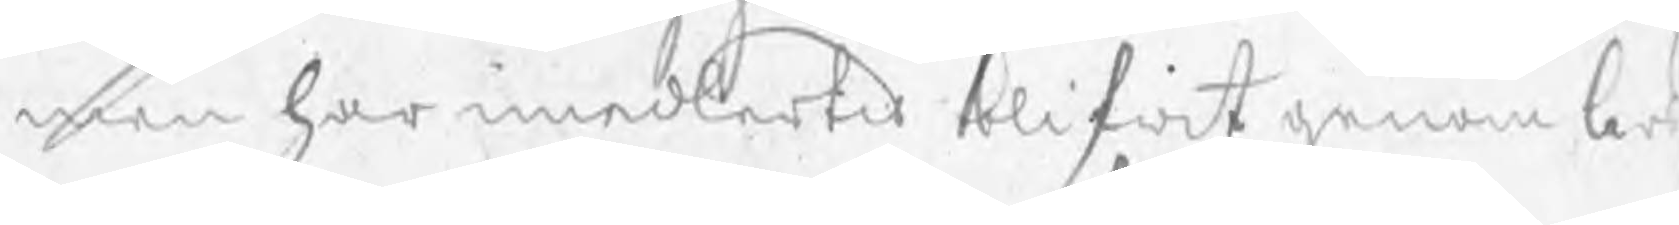men har imedlertid blifwit genom Lars
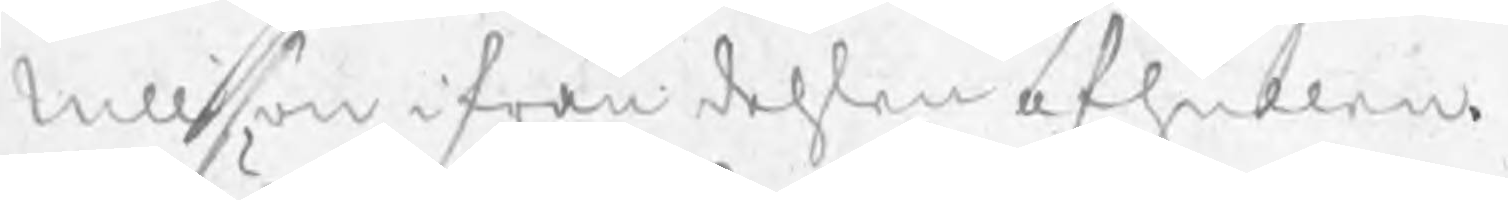Nillson ifrån dehlen afhullen.
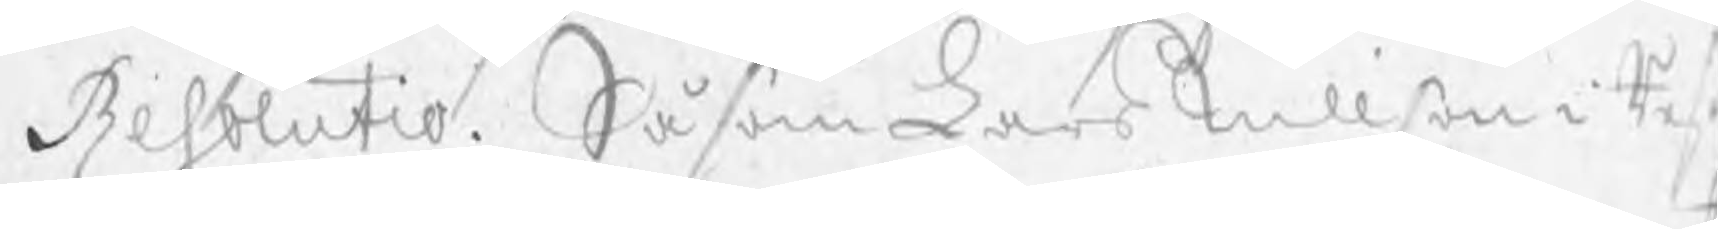Resolutio. Såsom Lars Nillson i Res
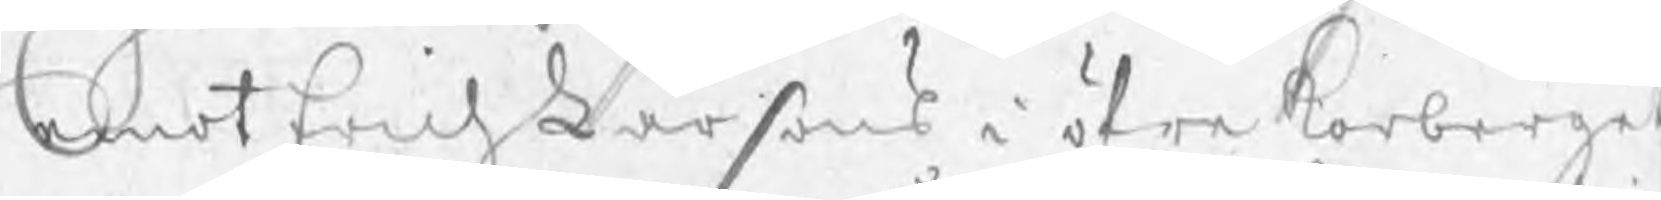emot Erich Larson i öfre Korberget
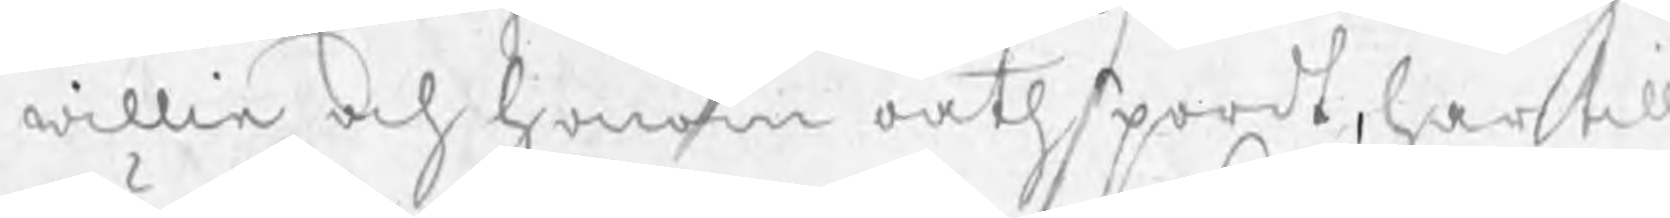willie och honom oåthspordt, har till
